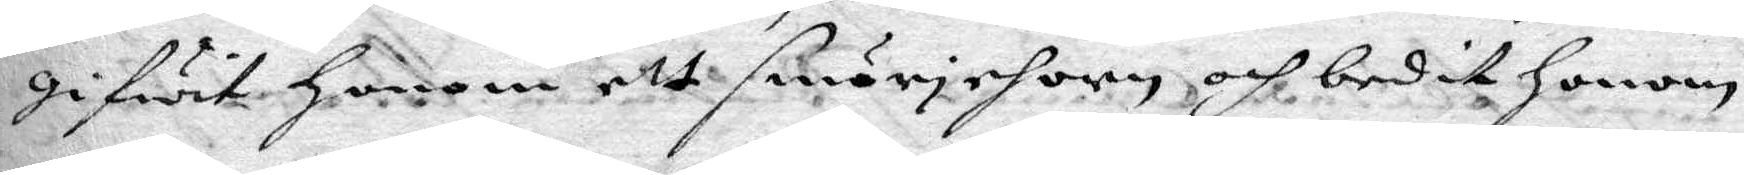gifwit Honom ett smörjehorn och bedit Honom
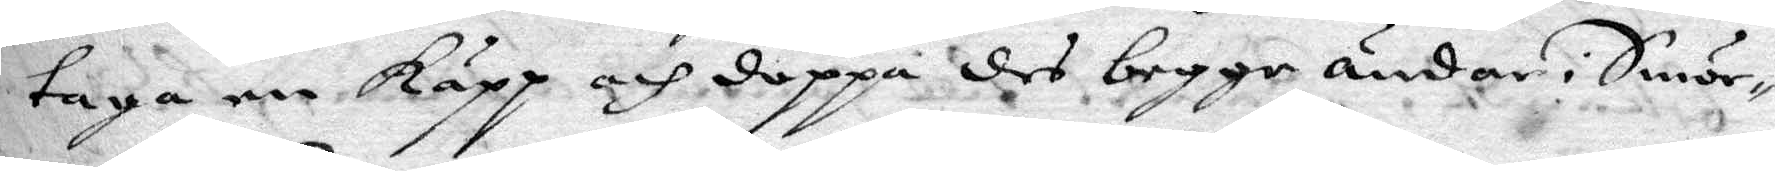taga een Käpp och doppa des begge ändar i Smör¬
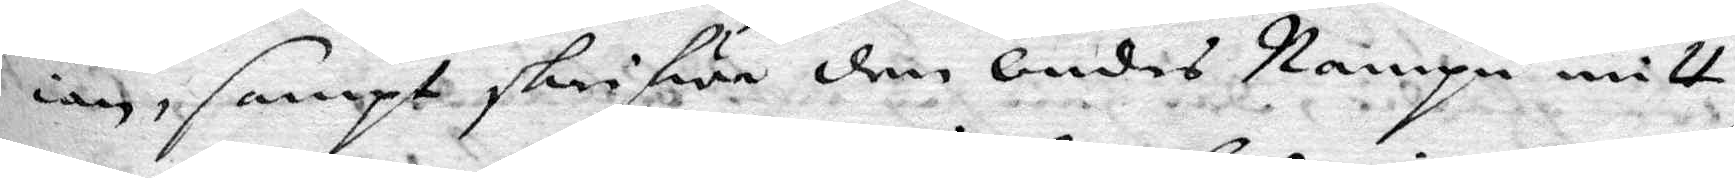ian, sampt skrifwa den Ondes Nampn mitt
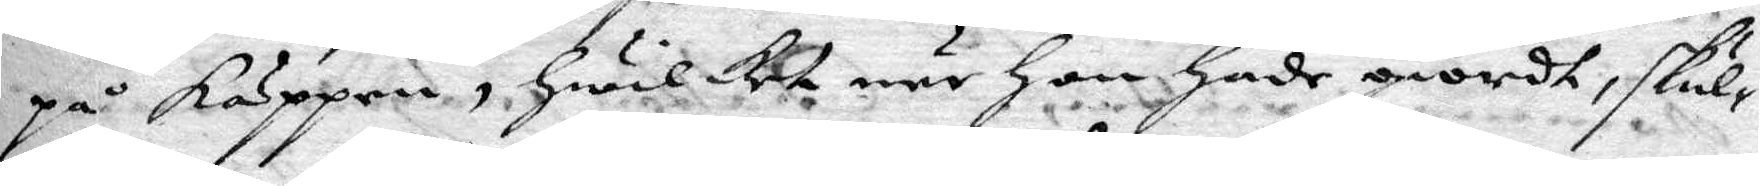på Käppen, Hwilket när hon hade giordt, skul¬
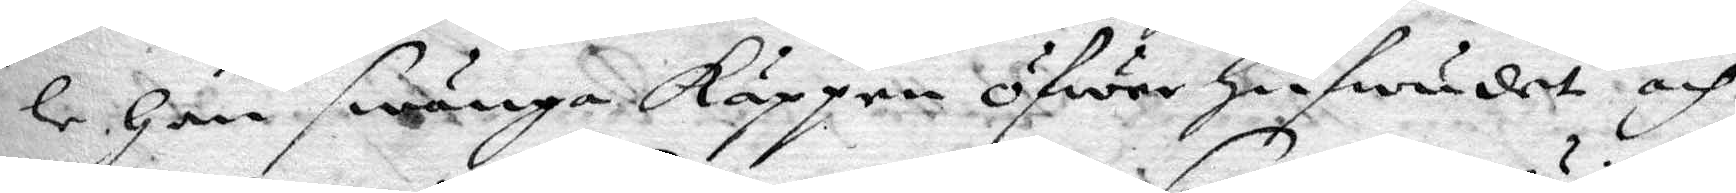le Han swänga käppen öfwer hufwudet och
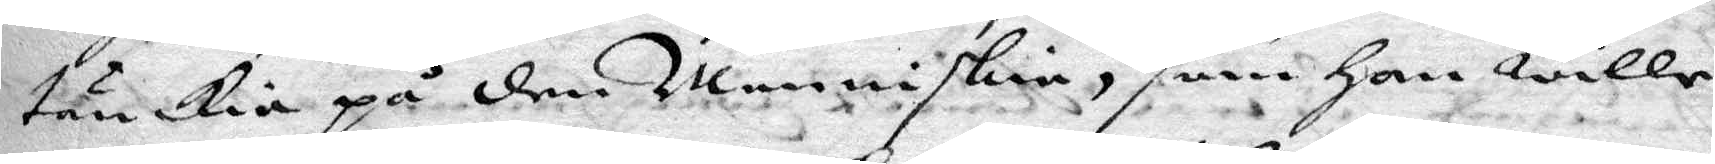tänkia på den Menniskia, som Han wille
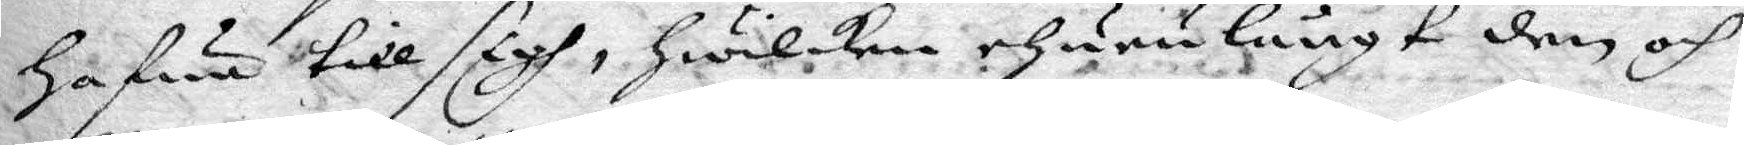Hafwa till sigh, Hwilken ehuru långt den och
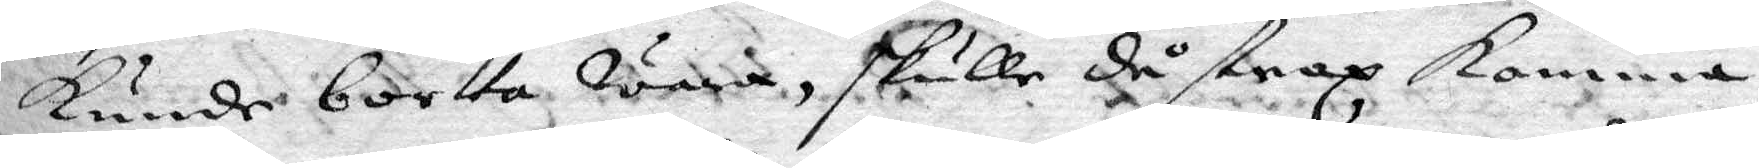kunde bortta wara, skulle då strax komma
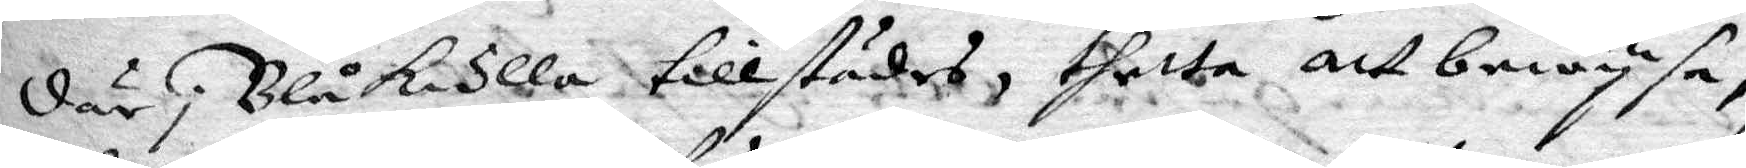där i Blåkulla tillstädes, thetta att bewysa,
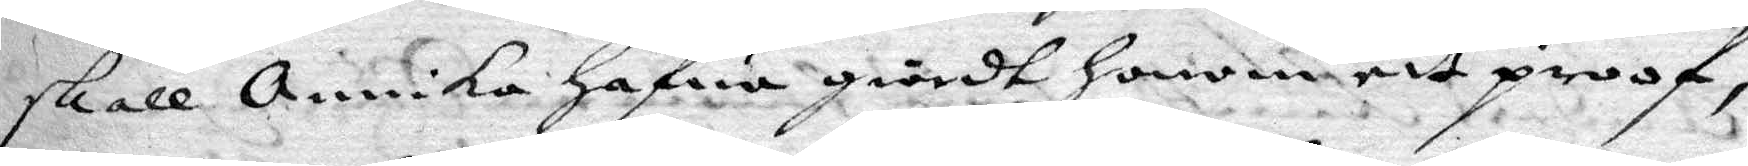skall annika hafwa giordt honom ett proof,
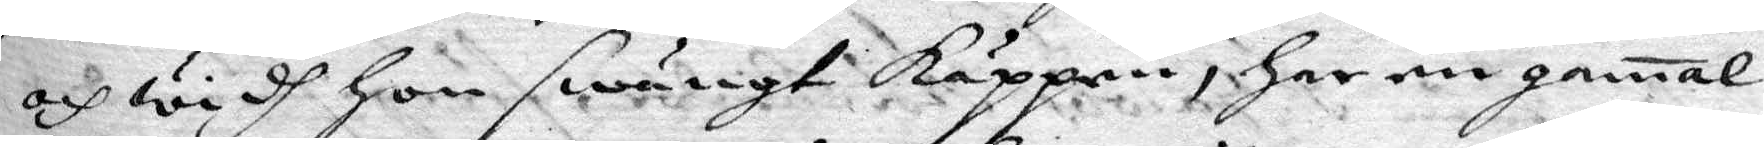och widh hon swängt Käppen, har en gammal
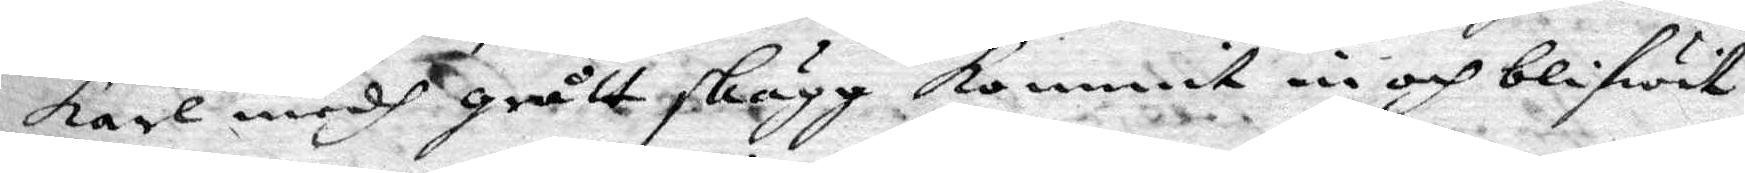karl medh grått skägg kommit in och blifwit
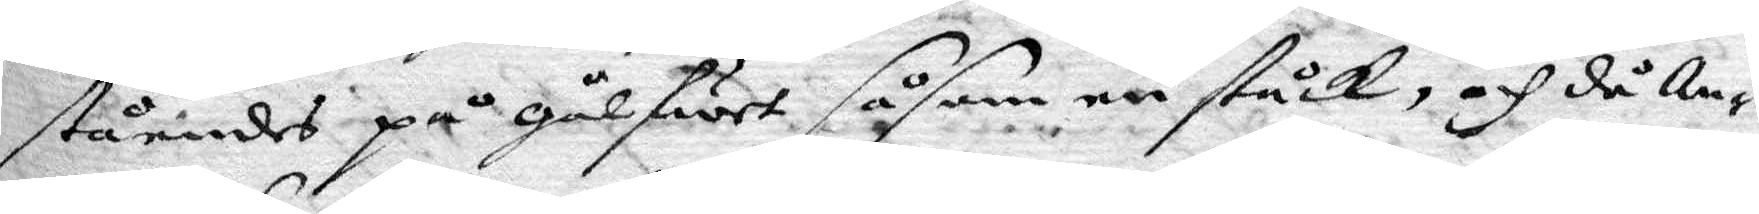ståendes på gålfwet såsom en ståck, och då An¬
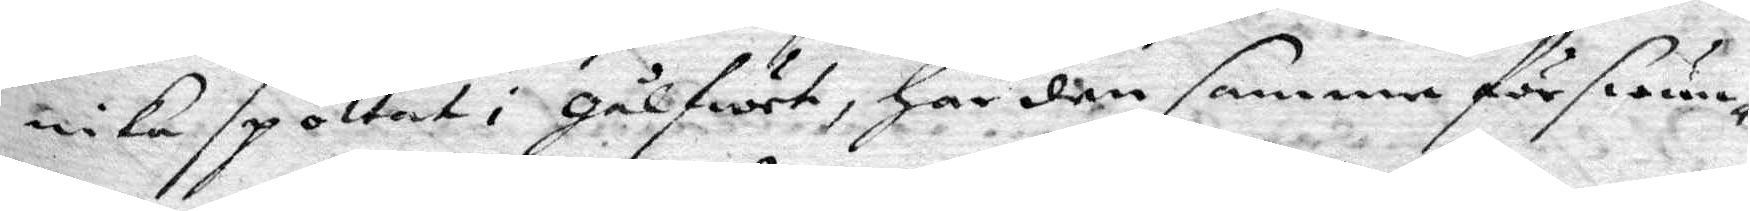nika spottat i Gålfwet, har den samma förswun¬
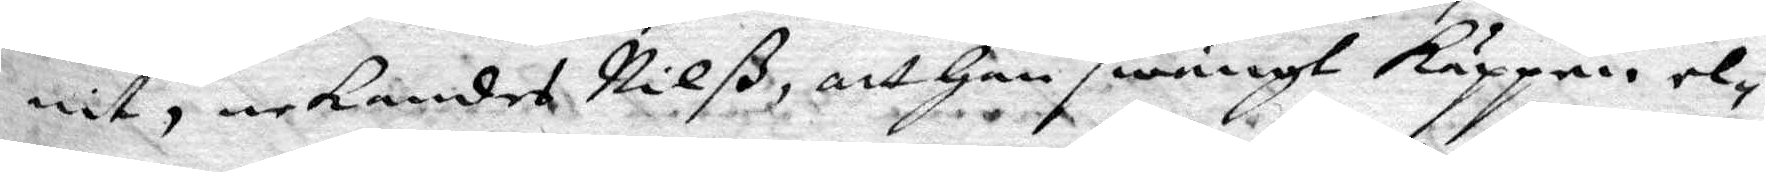nit, nekandes Nilß att Han swängt Käppen, el¬
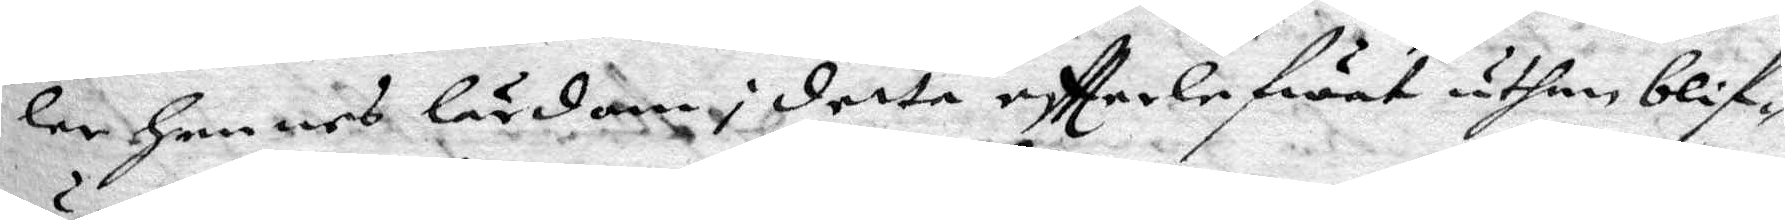ler Hennes lärdom i detta effterlefwat uthan blif¬
